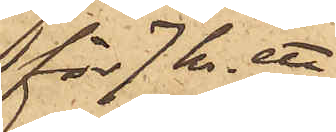 för 7 kr, ett
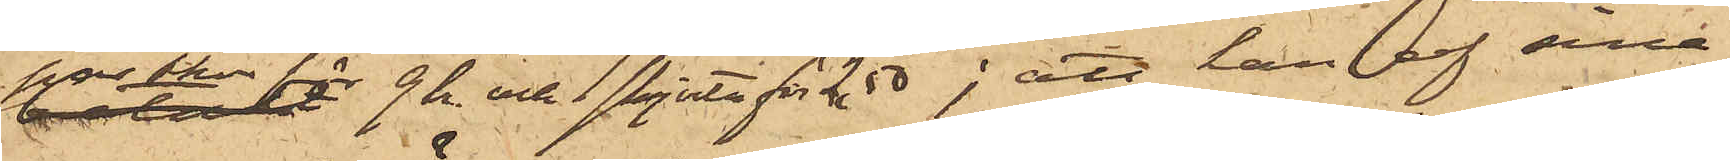par skor för 9 kr. och skjorta för 2,50; att han af sina
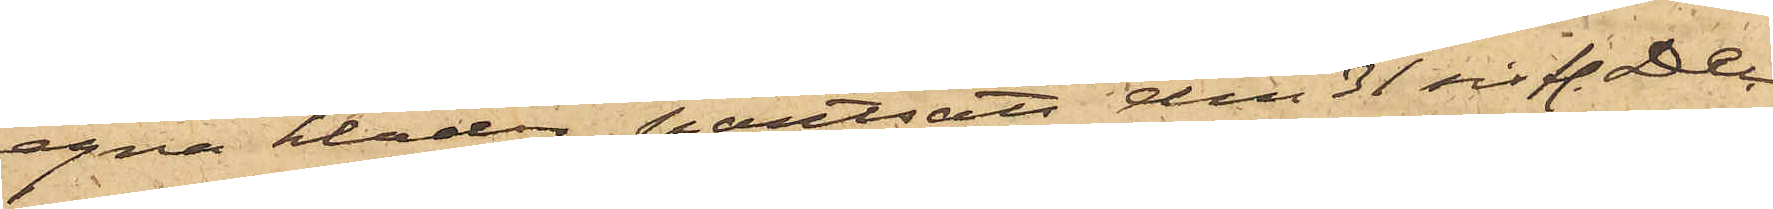egna kläder pantsatt den 31 sist. Dec
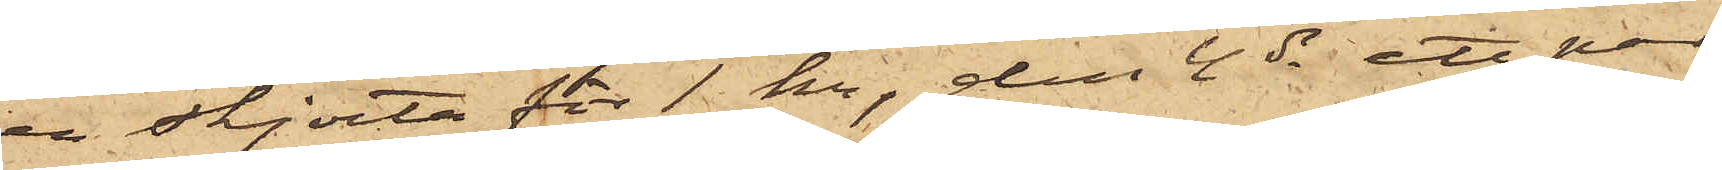en skjorta för 1 kr, den 4 ds ett par
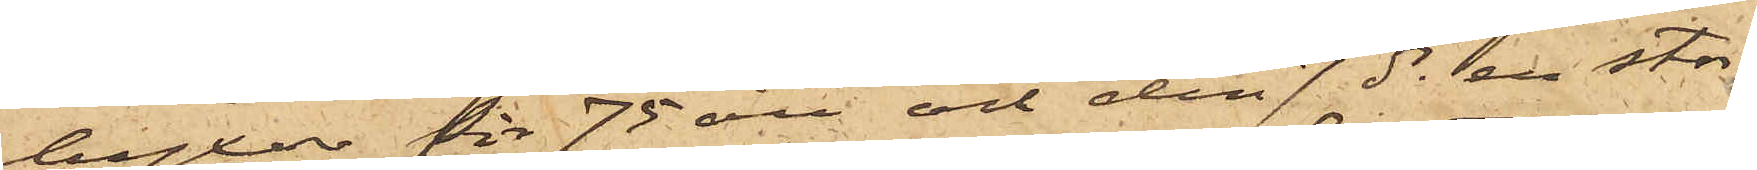byxor för 75 öre och den 7 ds en stor¬
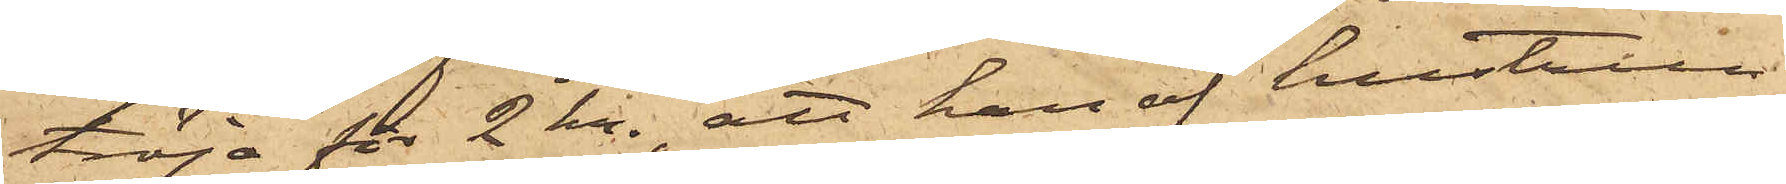tröja för 2 kr., att han af hustrun
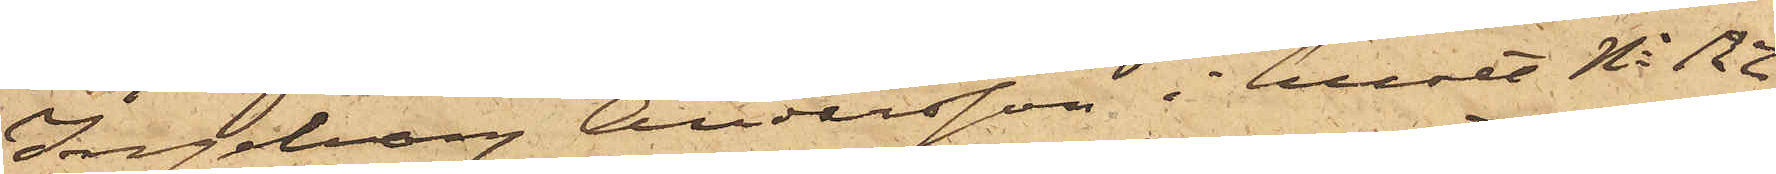Ingeborg Andersson i huset No 122
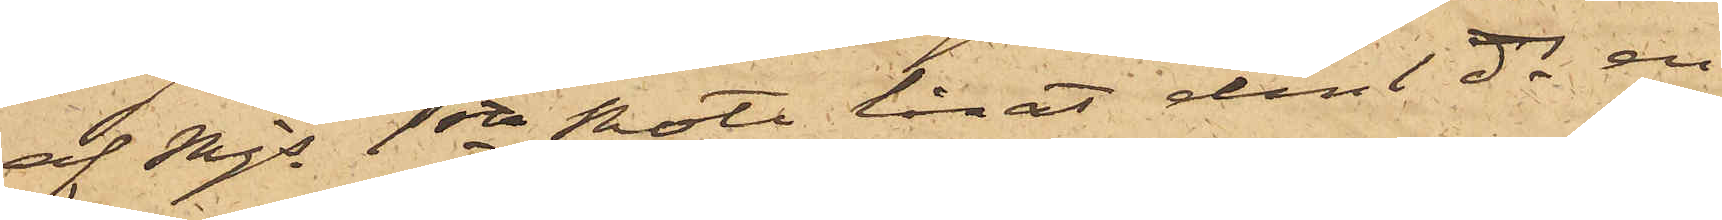af Mjs 1ste Rote lånat den 1 ds en
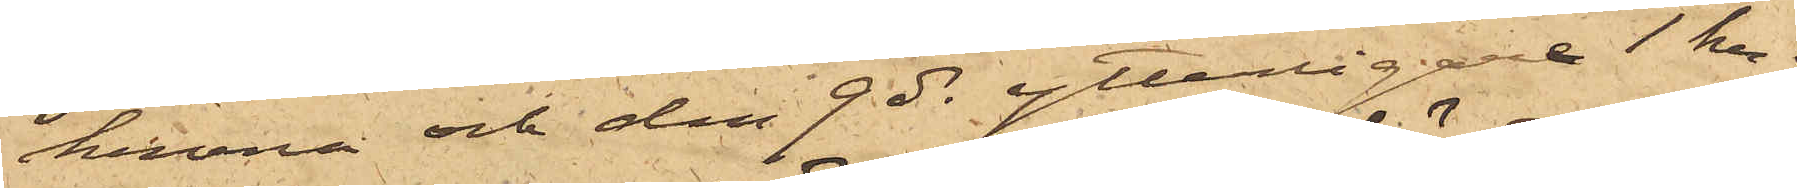krona och den 9 ds ytterligare 1 kr;
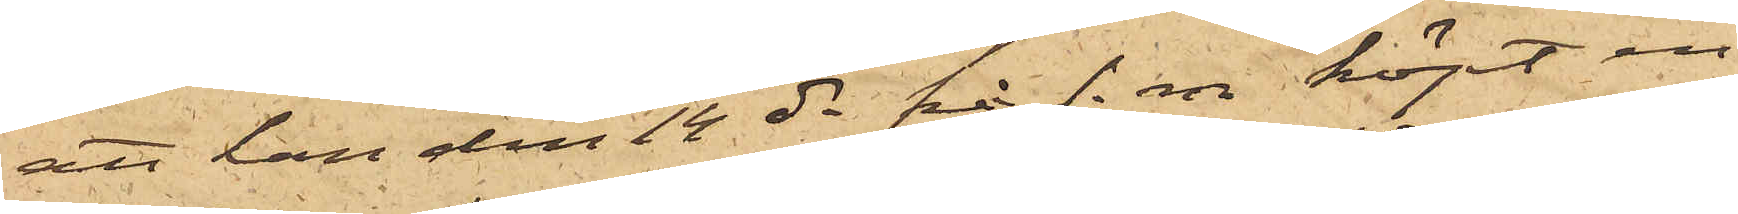att han den 14 ds på f.m. köpt en
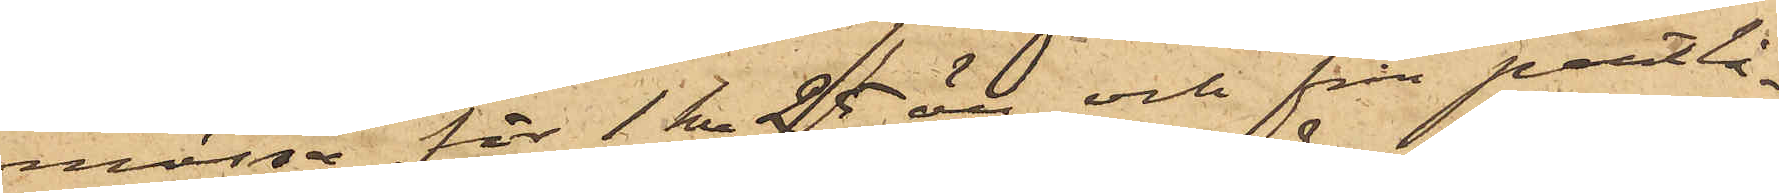mössa för 1 kr 25 öre och från pantlå¬
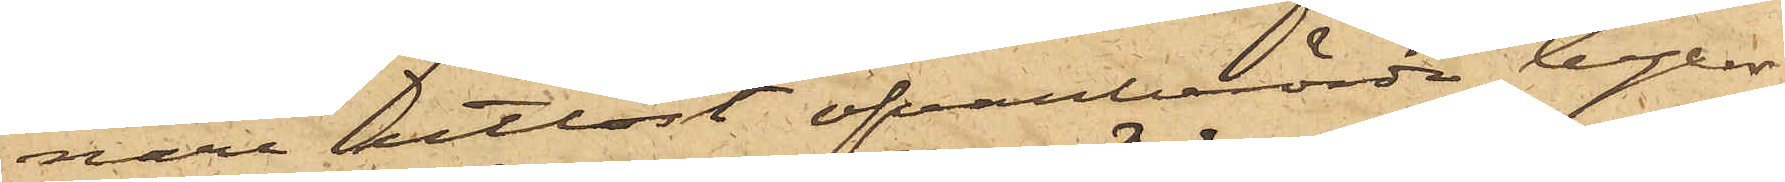narna utlöst ofvanberörde byxor
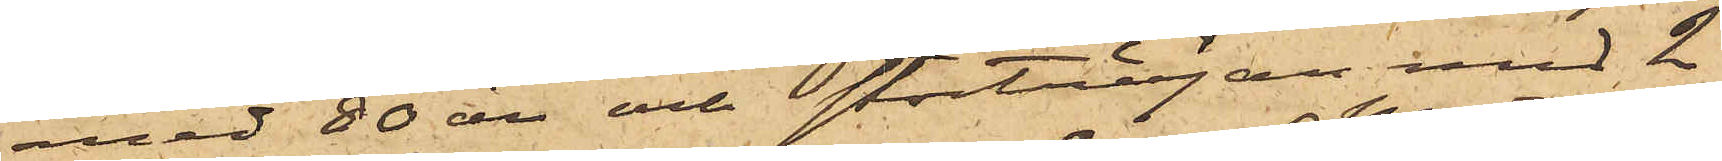med 80 öre och stortröjan med 2
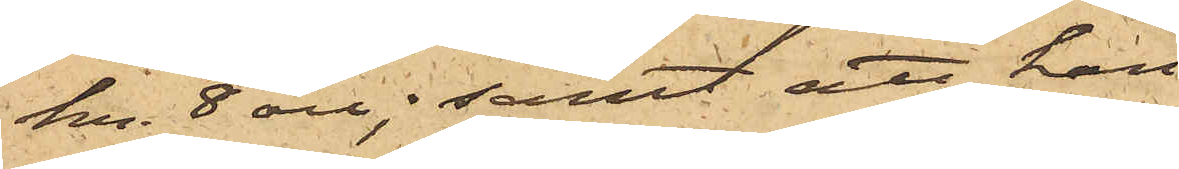kr. 8 öre; samt att han
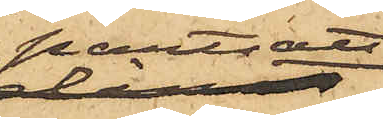pantsatt
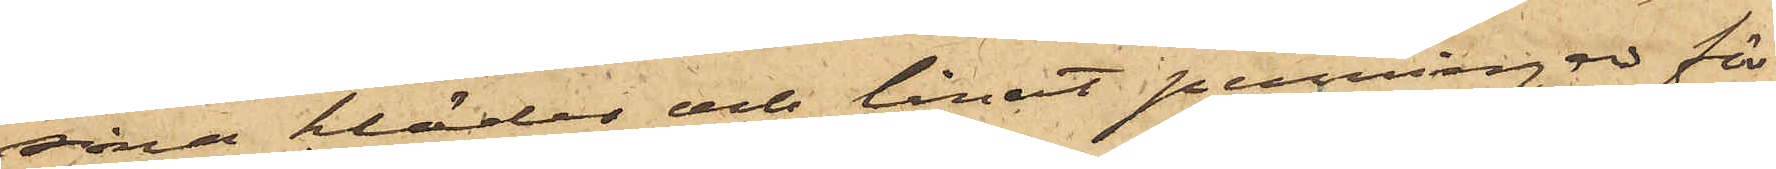sina kläder och lånat penningar för
